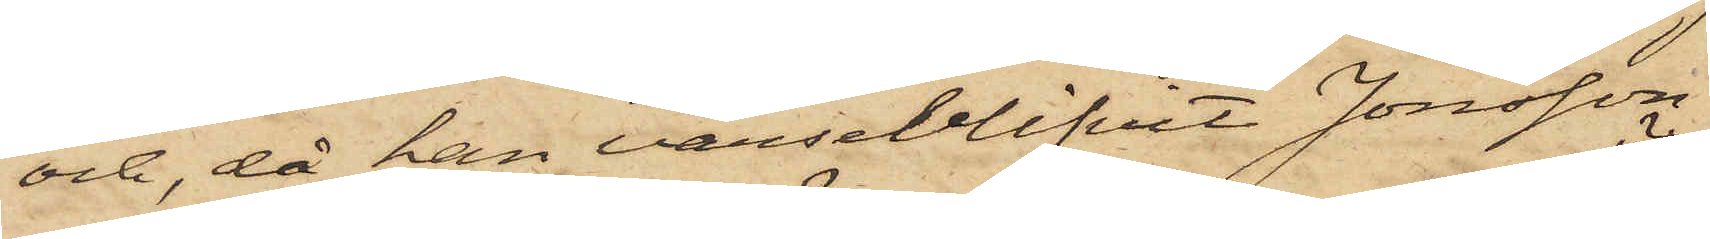och, då han varseblifvit Jonsson
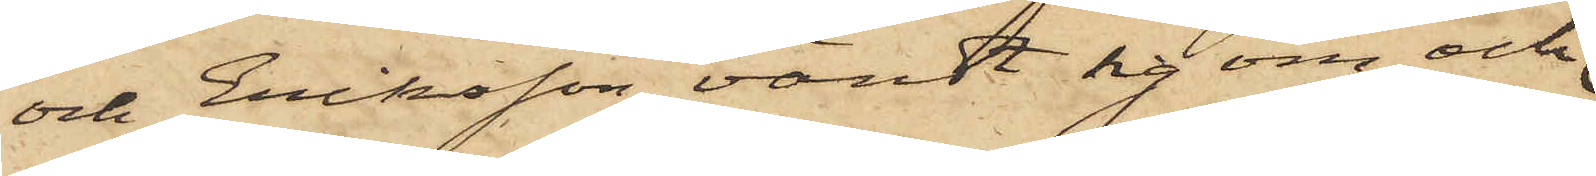och Eriksson, vändt sig om och
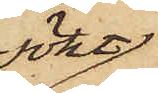sökt
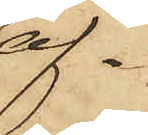af¬
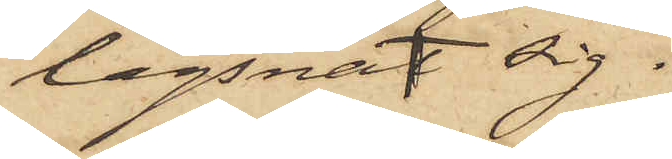lägsnat sig.
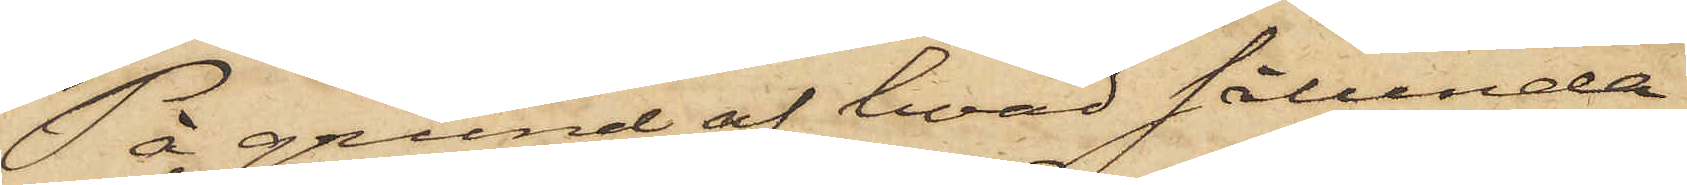På grund af hvad sålunda
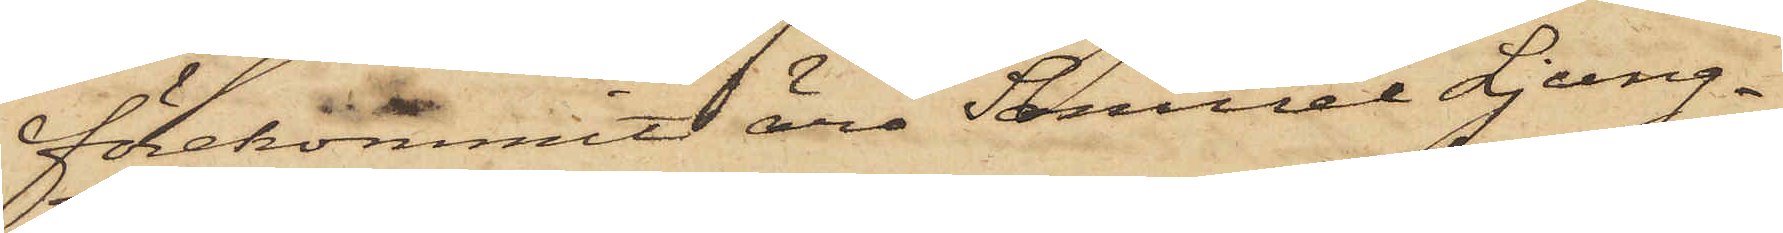förekommit äro Samuel Ljung¬
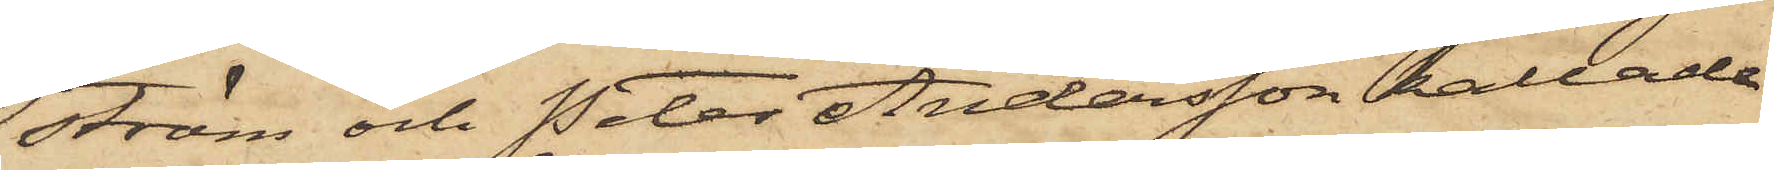ström och Peter Andersson kallade
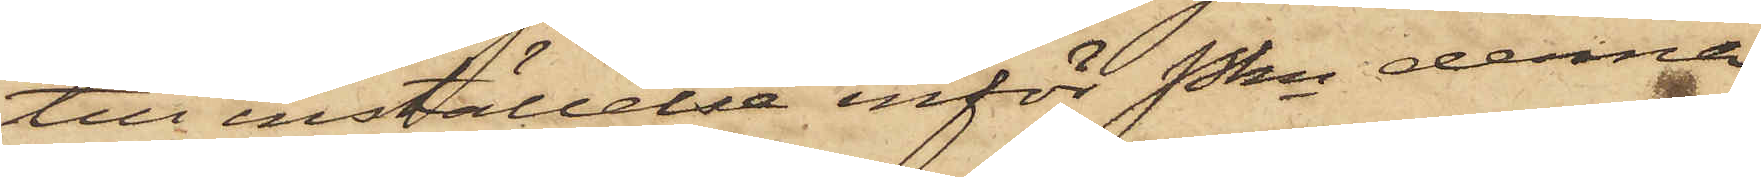till inställelse inför Pkn denna
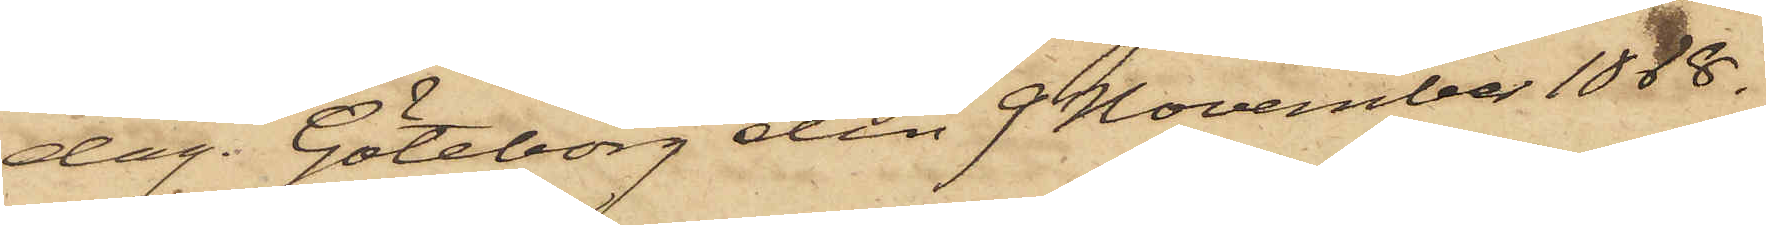dag. Göteborg den 9 November 1868.
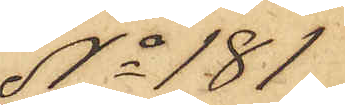No 181
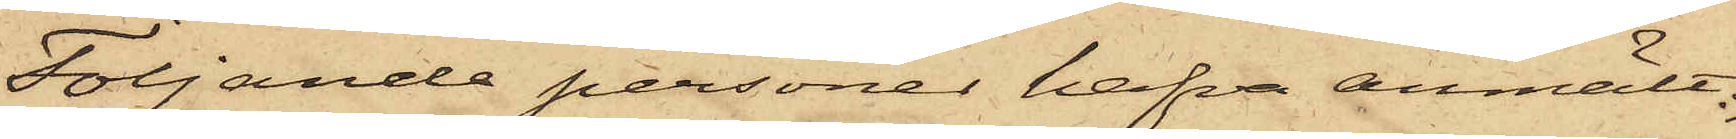Följande personer hafva anmält:
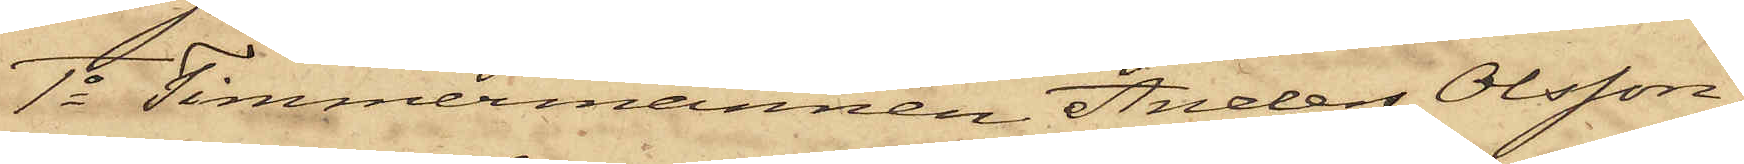1o Timmermannen Anders Olsson
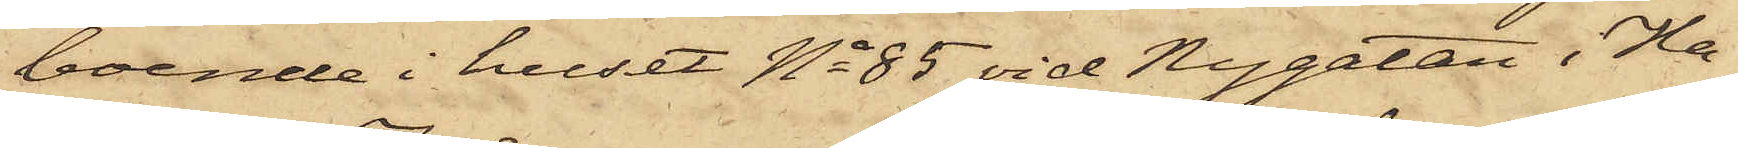boende i huset No 85 vid Nygatan i Ha¬
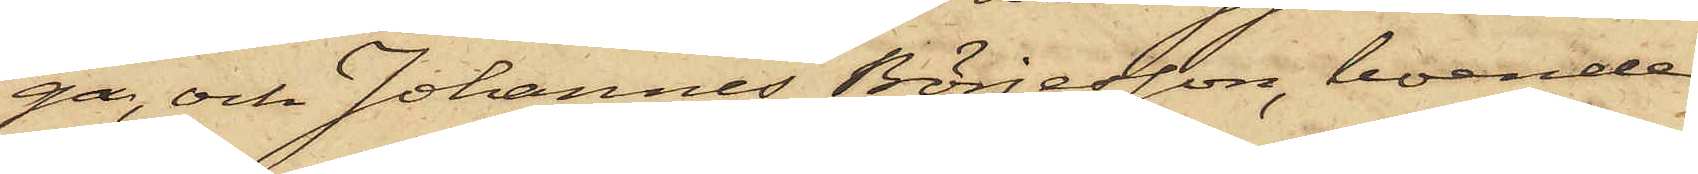ga, och Johannes Börjesson, boende
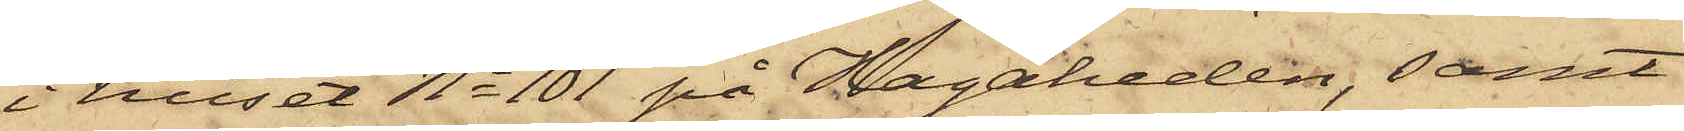i huset No 101 på Hagaheden, samt
